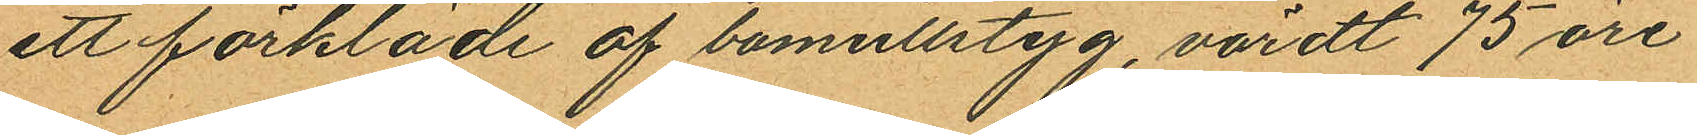ett förkläde af bomullstyg, värdt 75 öre
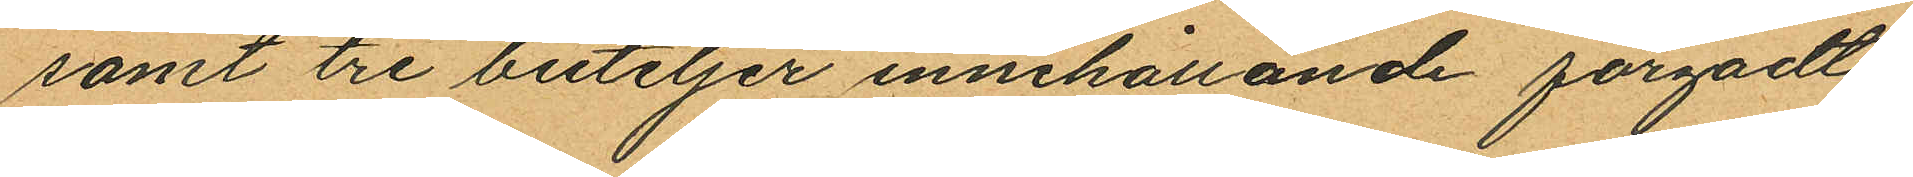samt tre buteljer innehållande färgadt
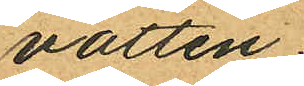vatten.
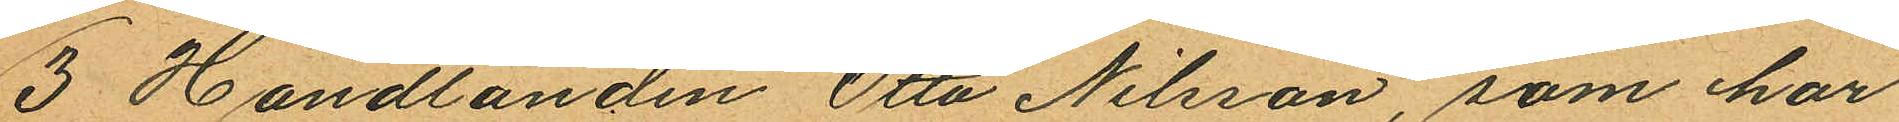3 Handlanden Otto Nilsson, som har
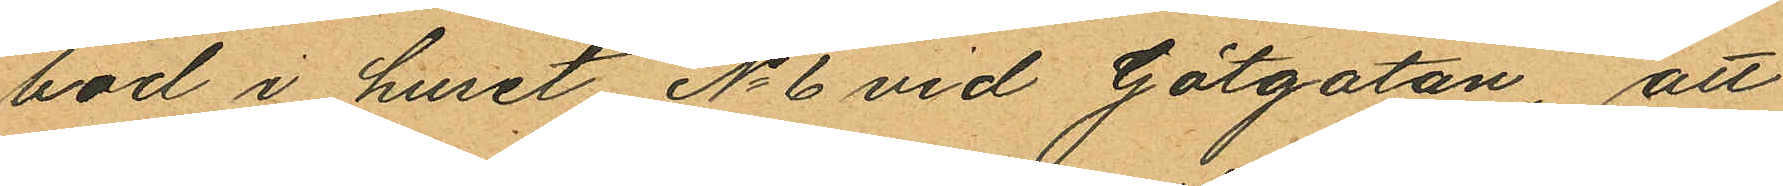bod i huset No 6 vid Götgatan, att
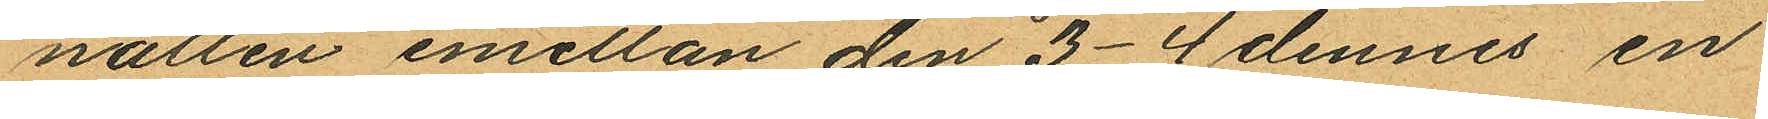natten mellan den 3-4 dennes en
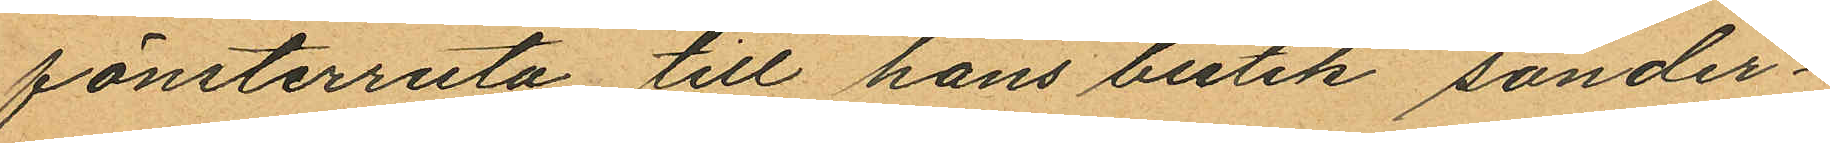fönsterruta till hans butik sonder¬
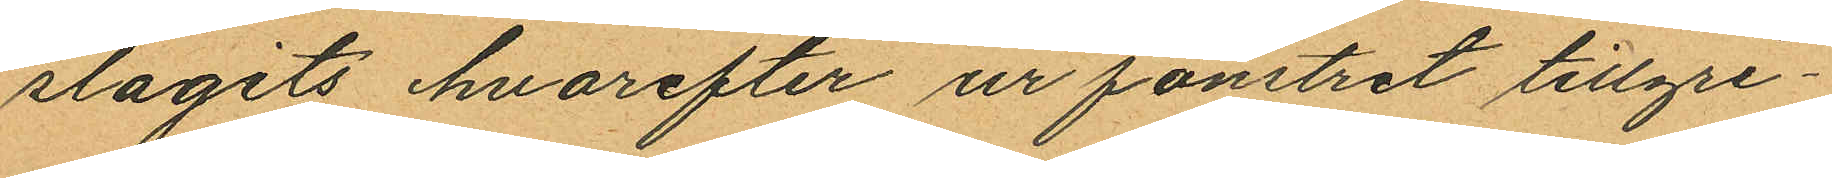slagits hvarefter ur fönstret tillgri¬
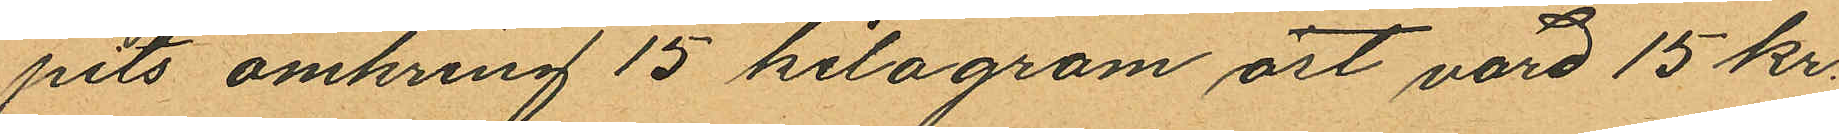pits omkring 15 kilogram ost värd 15 kr.
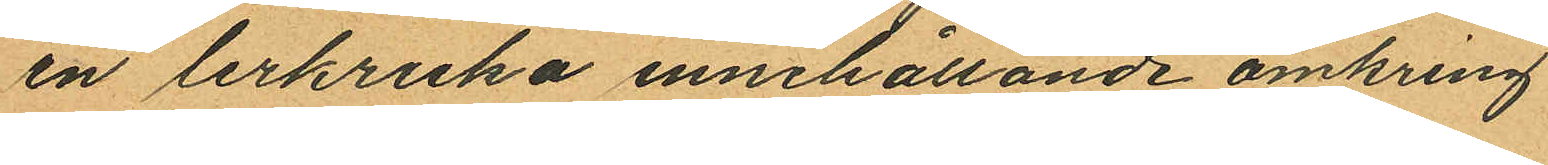en lerkruka innehållande omkring
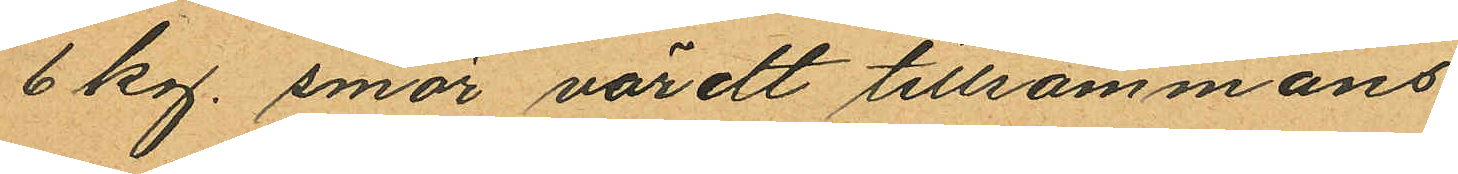6 kg. smör värdt tillsammans
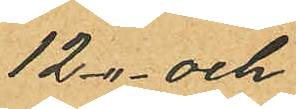12 -"- och
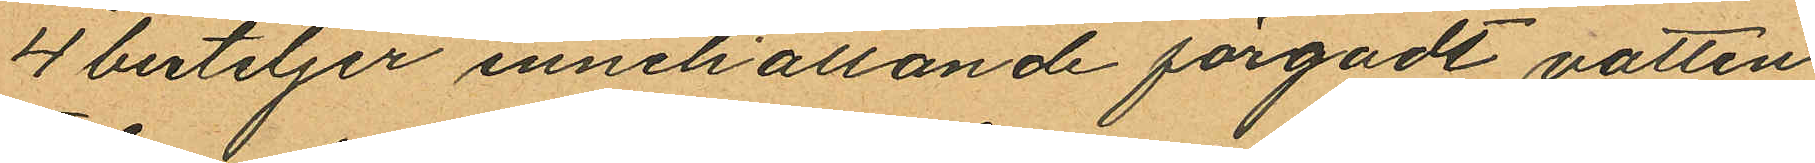4 buteljer innehållande färgadt vatten;
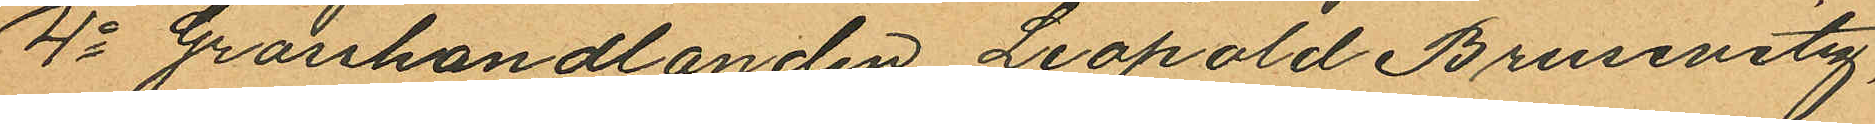4o Grosshandlanden Leopold Brusevitz,
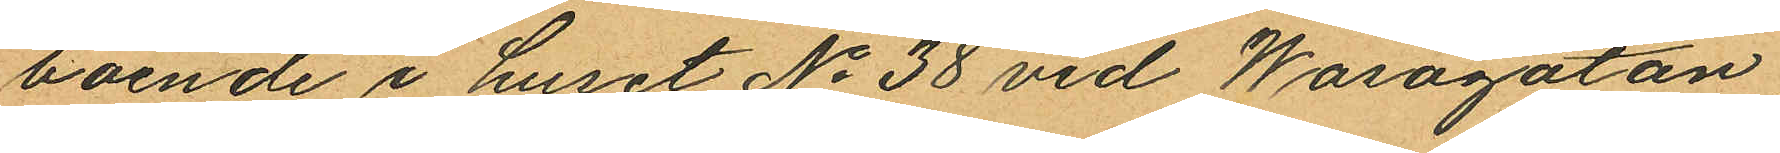boende i huset No 38 vid Wasagatan,
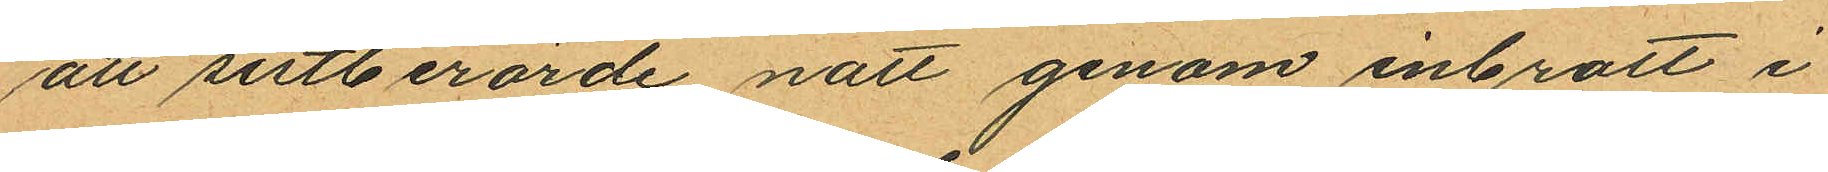att sistberörde natt genom inbrott i
